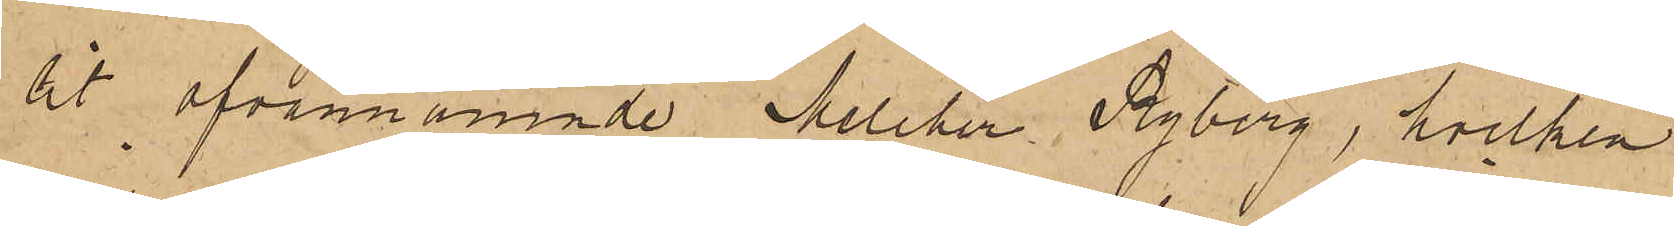lit ofvannämnde Melcher Nyberg, hvilken
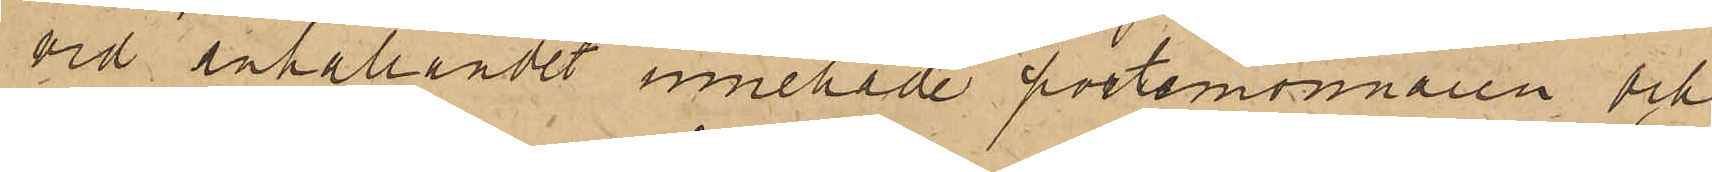vid anhållandet innehade portemonnaien och
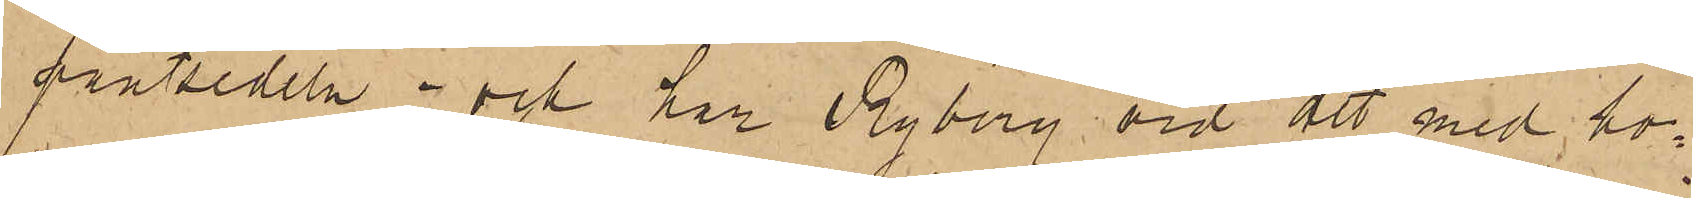pantsedeln; och har Ryberg vid att med ho¬
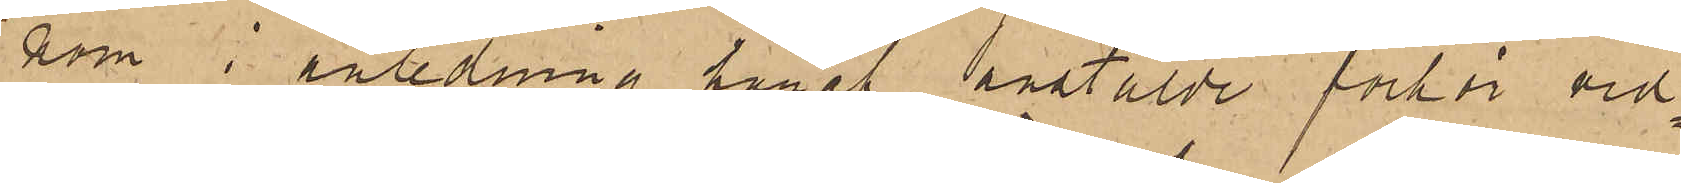nom i anledning häraf anstäldt förhör vid¬
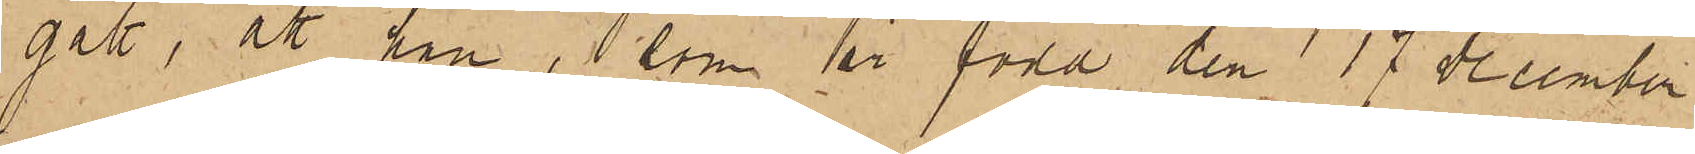gått, att han, som är född den 17 December
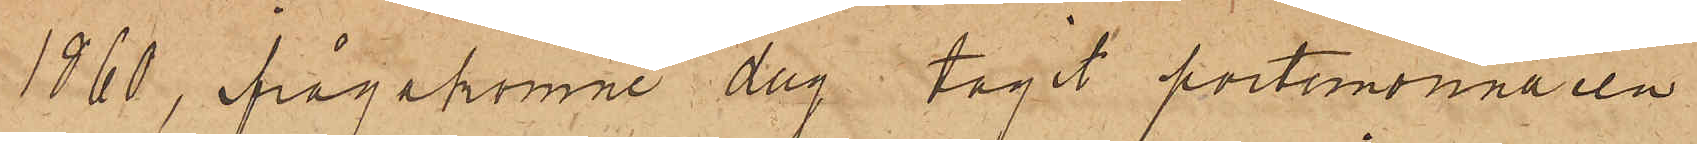1860, ifrågakomne dag tagit portemonnaien
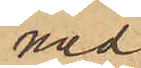med
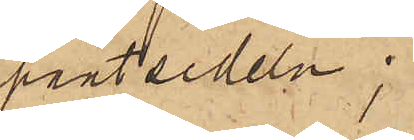pantsedeln;
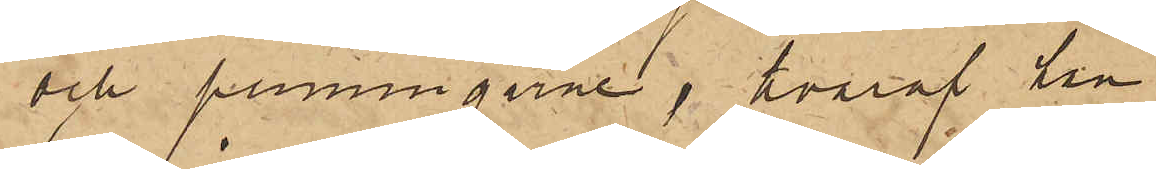och penningarne, hvaraf han
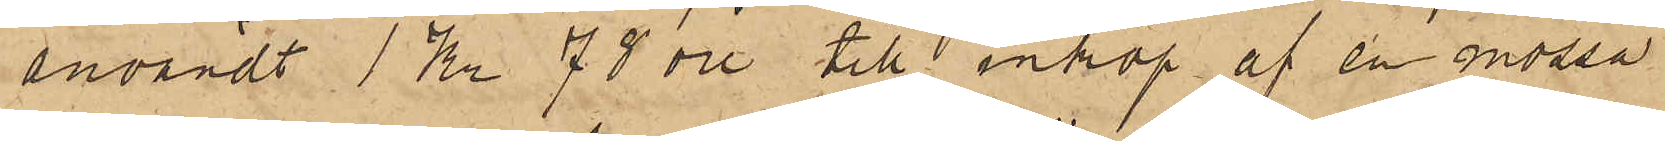användt 1 Kr 78 öre till inköp af en mössa
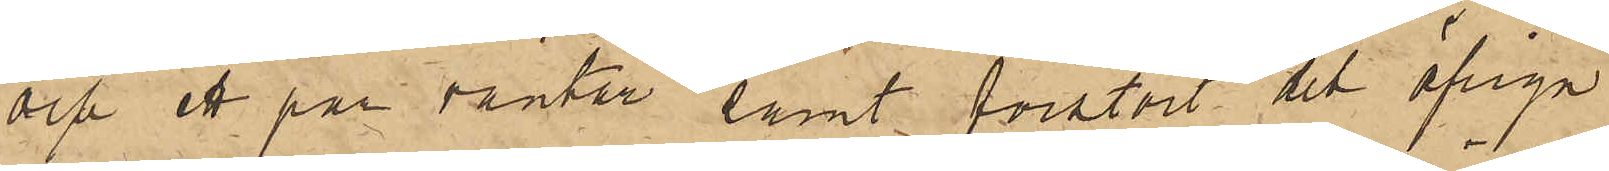och ett par vantar samt förstört det öfriga
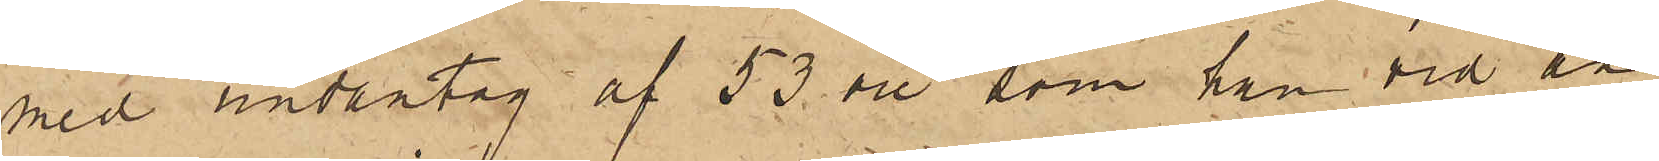med undantag af 53 öre, som han vid an¬
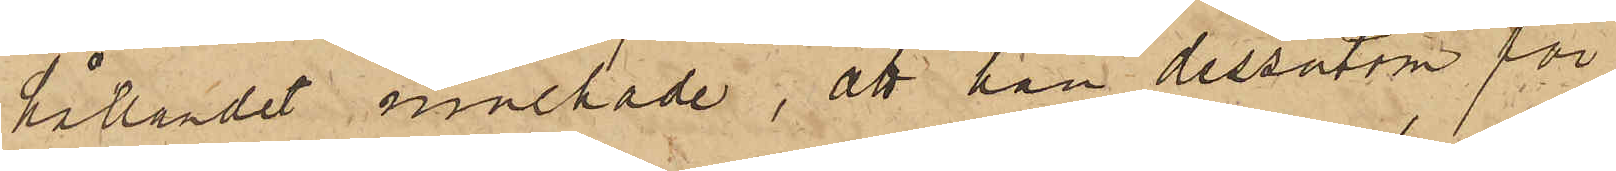hållandet innehade, att han dessutom för
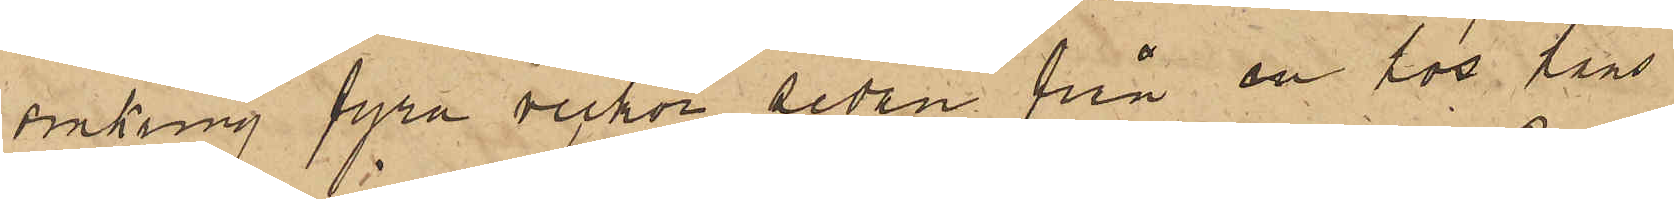omkring fyra veckor sedan från en hos hans
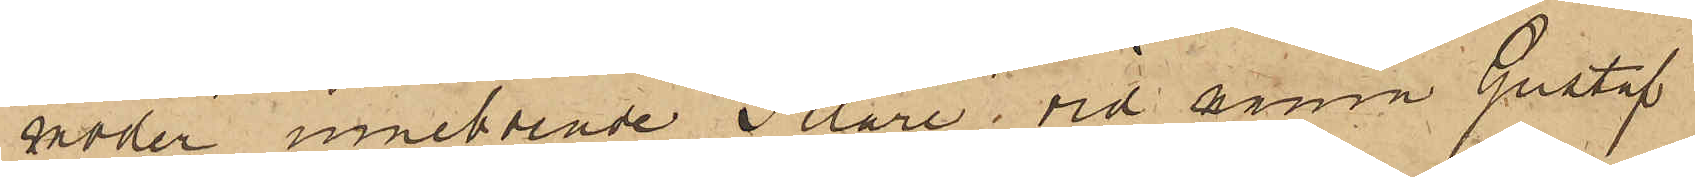moder inneboende Filare, vid namn Gustaf
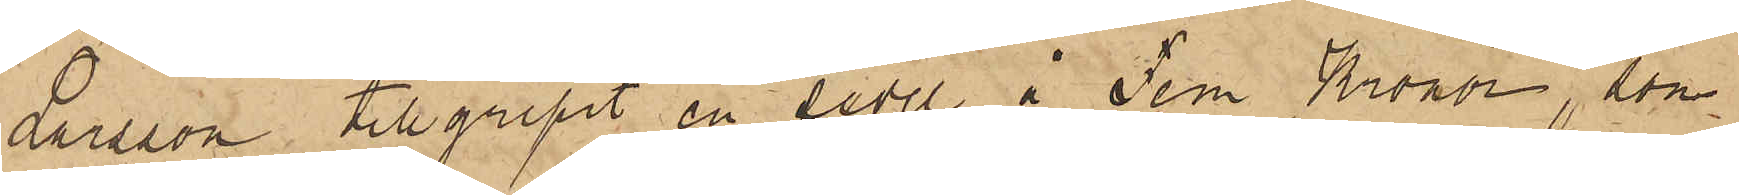Larsson tillgripit en sedel å Fem Kronor, som
